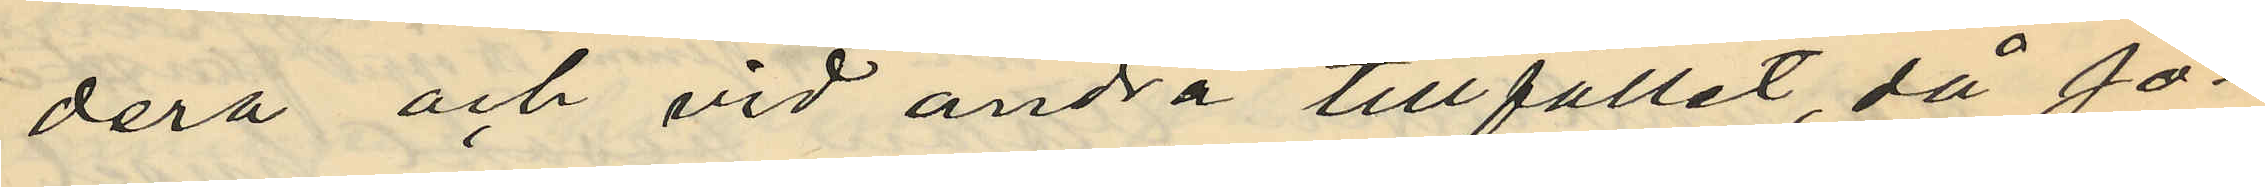dera och vid andra tillfället, då Jo¬
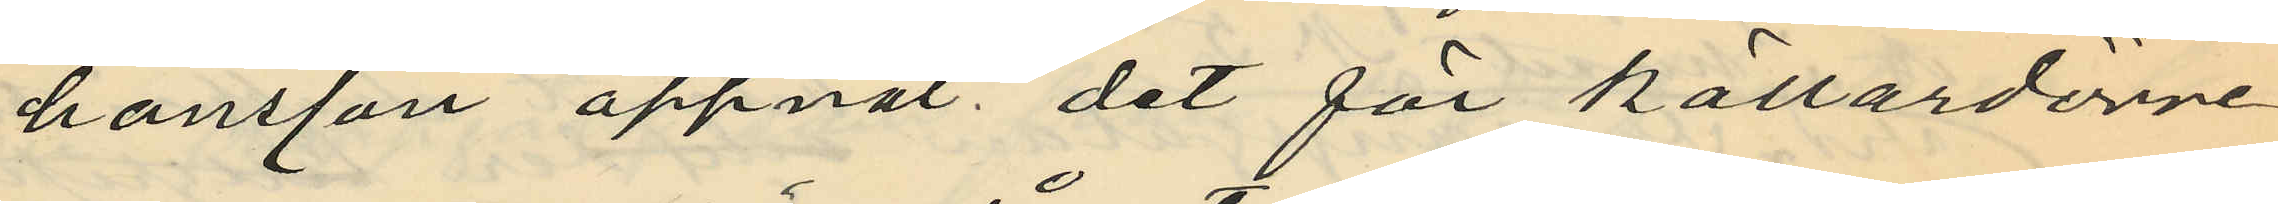hansson öppnat det för källardörre
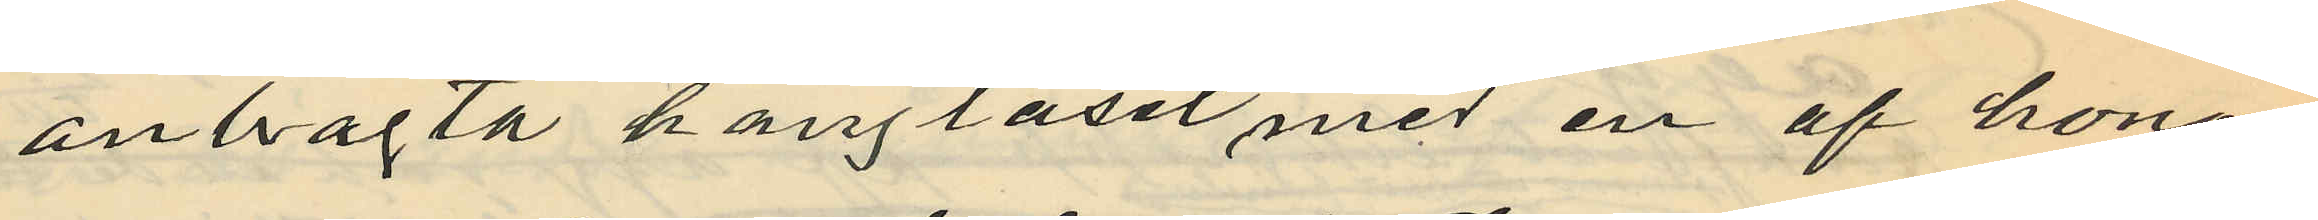anbragta hänglåset med en af honom
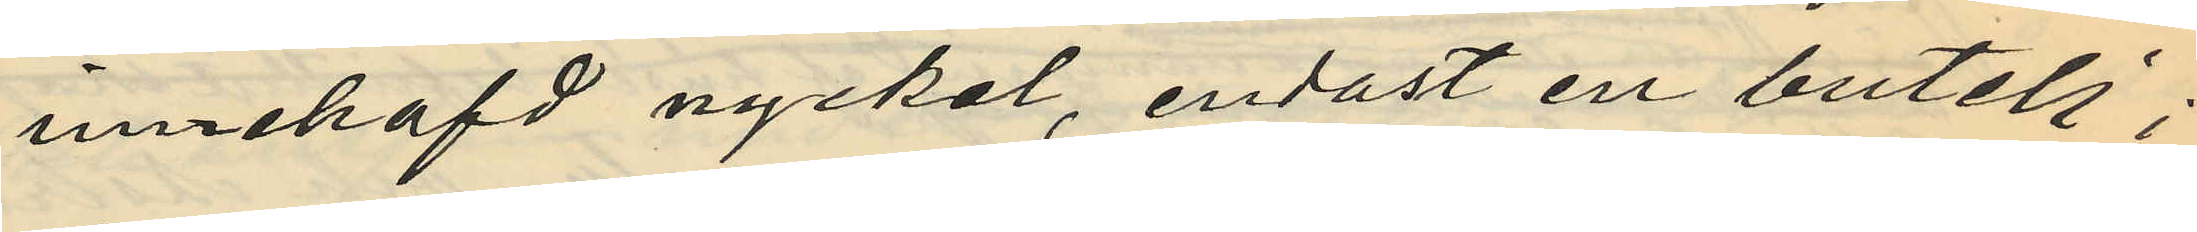innehafd nyckel, endast en butelj;
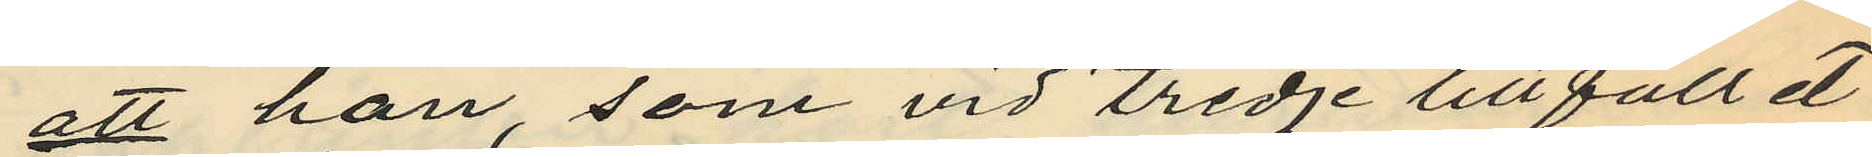att han, som vid tredje tillfället
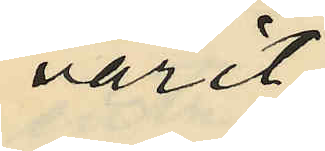varit
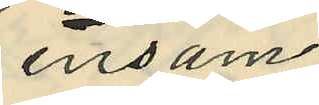ensam
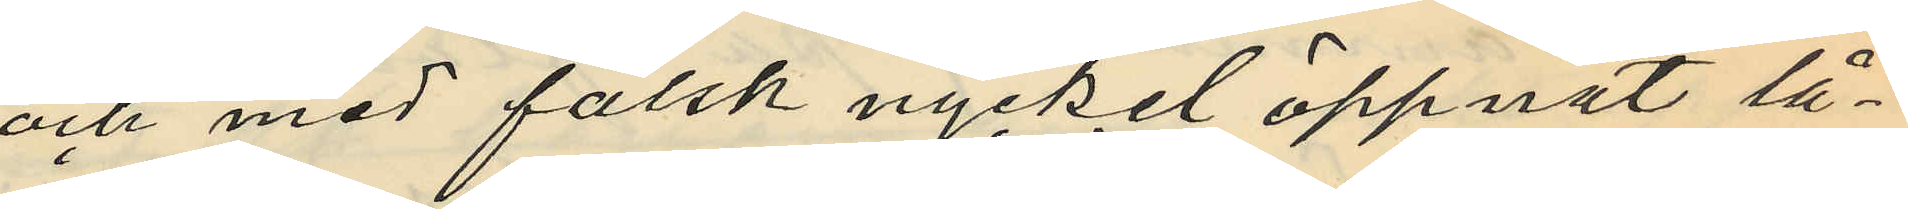och med falsk nyckel öppnat lå¬
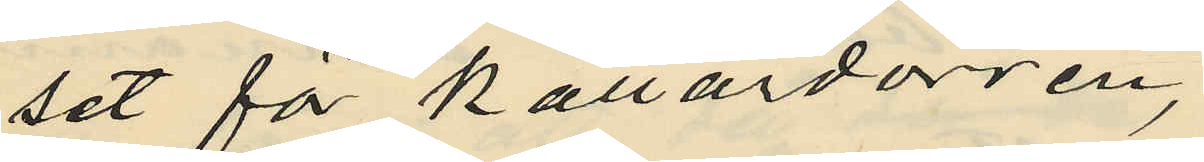set för källardörren,
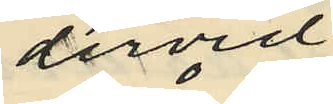dervid
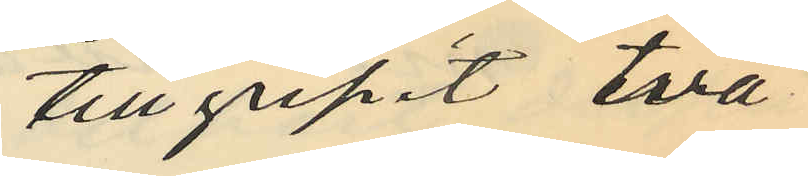tillgripit två
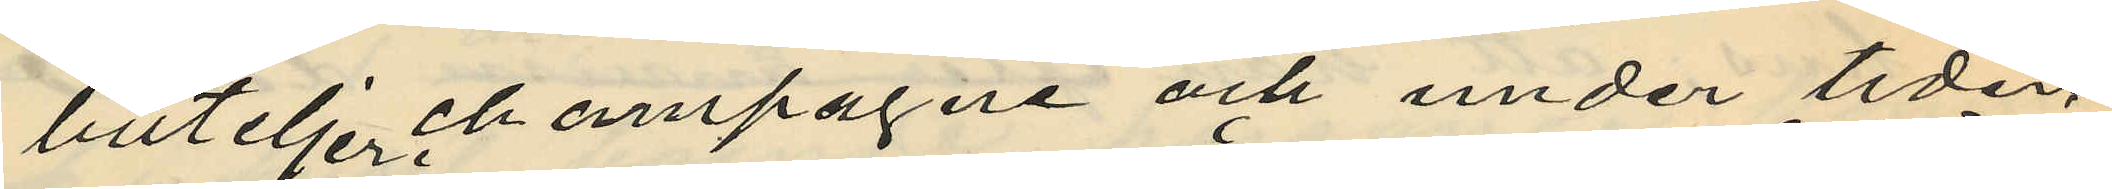buteljer champagne och under tiden
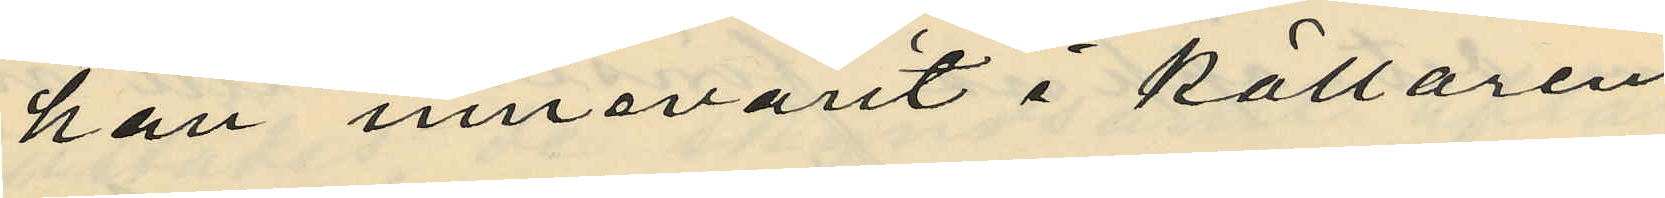han innevarit i källaren
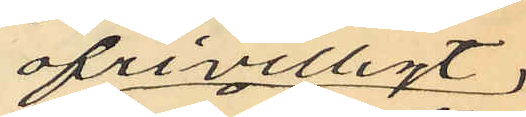ofrivilligt
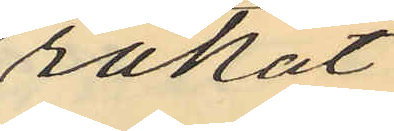råkat
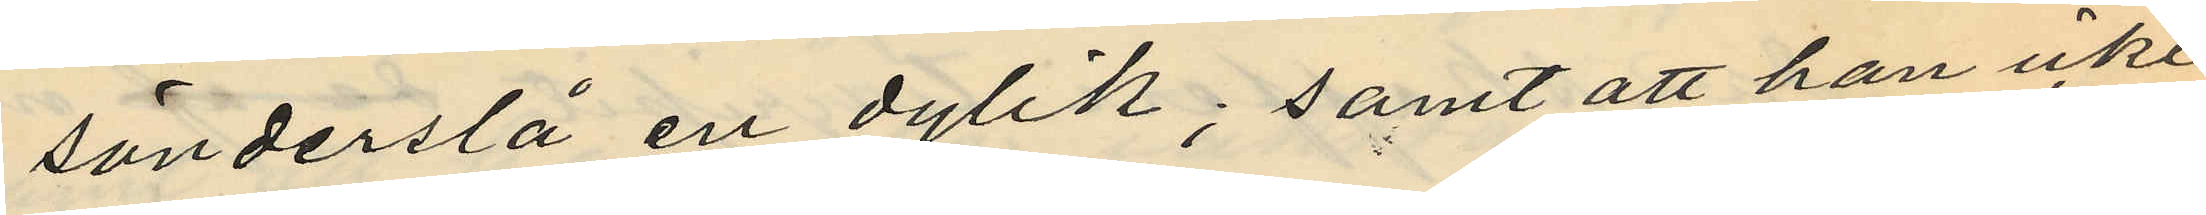sönderslå en dylik; samt att han icke
